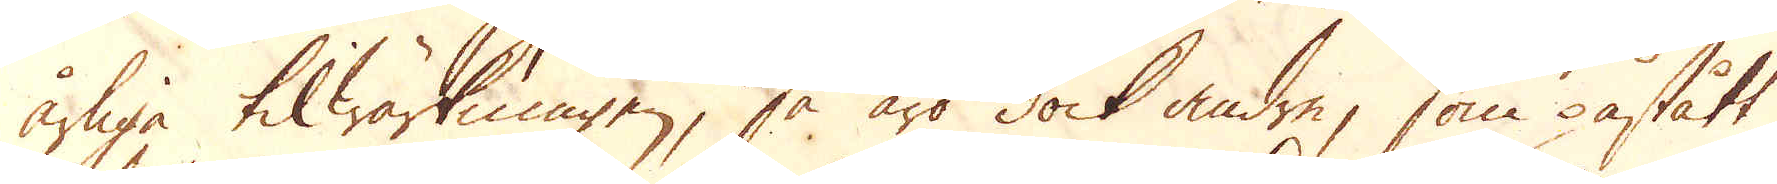årliga tilwärkningen, så äro dock andre, som påstått
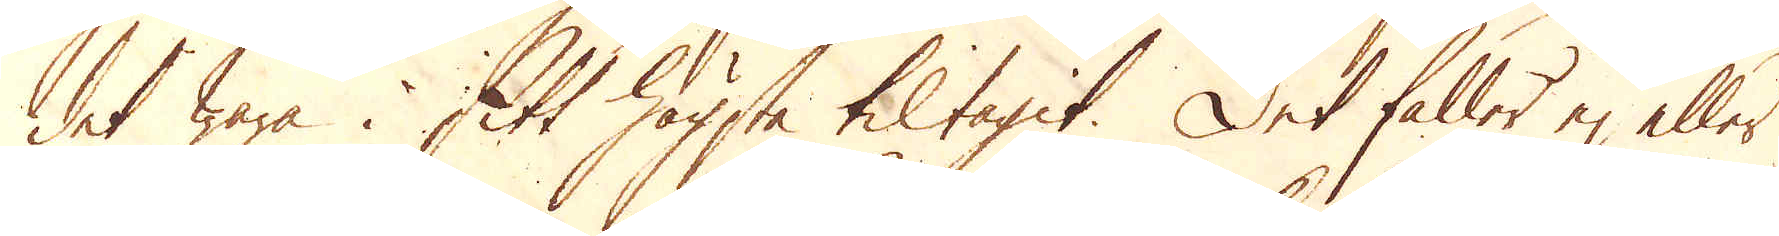det wara i sitt högsta tiltagit. Det faller ej eller
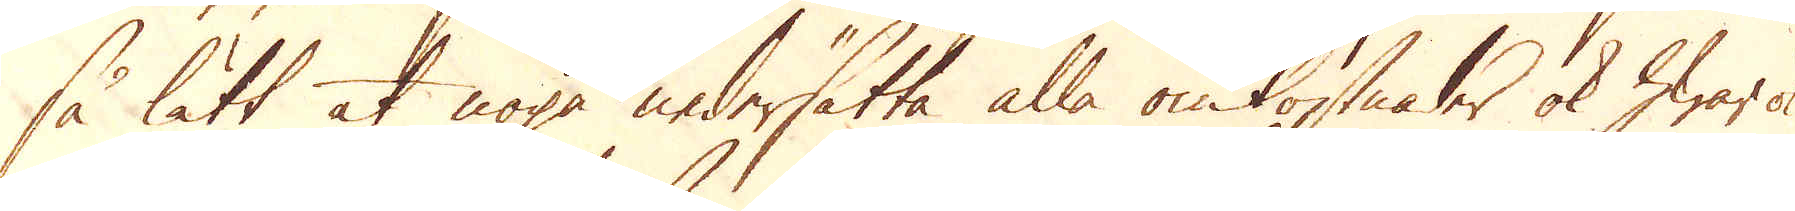så lätt at noga nedersätta alla omkostnader ok hwar ok
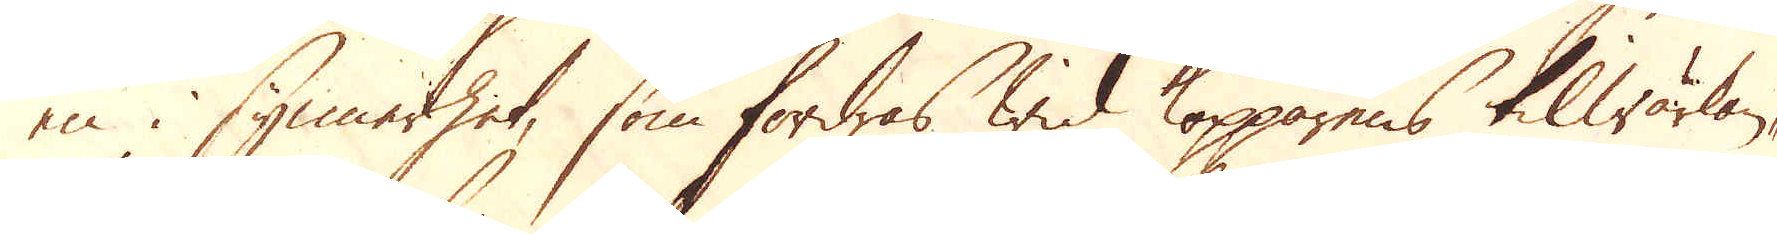en i synnerhet, som fordras wid kopparens tilwärkan-
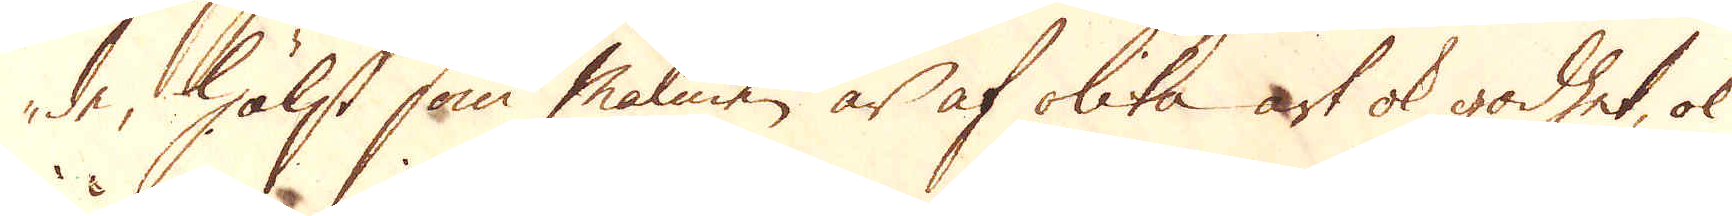de, hälst som malmen är af olika art ok godhet, ok
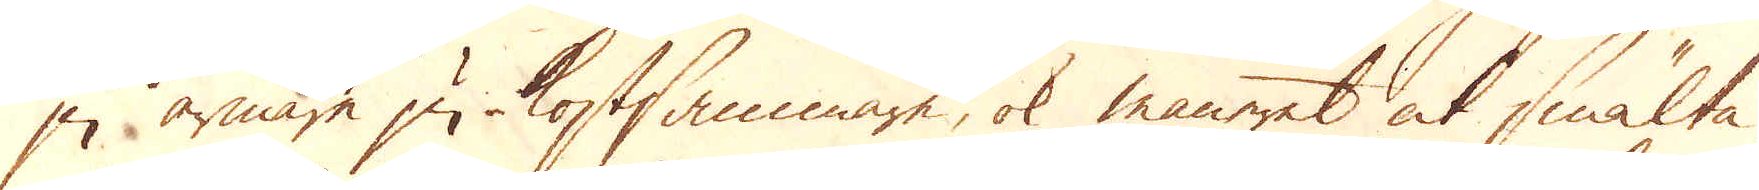ju armare ju kostsammare, ok maneret at smälta
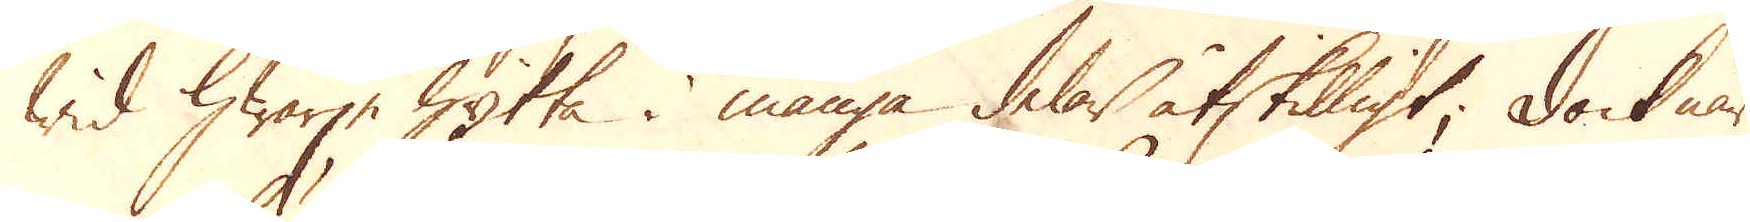wid hwarje hytta i många delar åtskilligt; Dock när
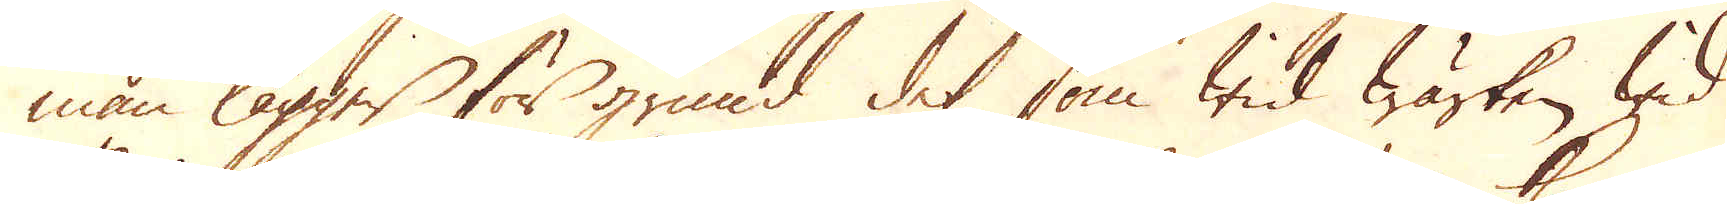man lägger för grund det som wid Wärken wid
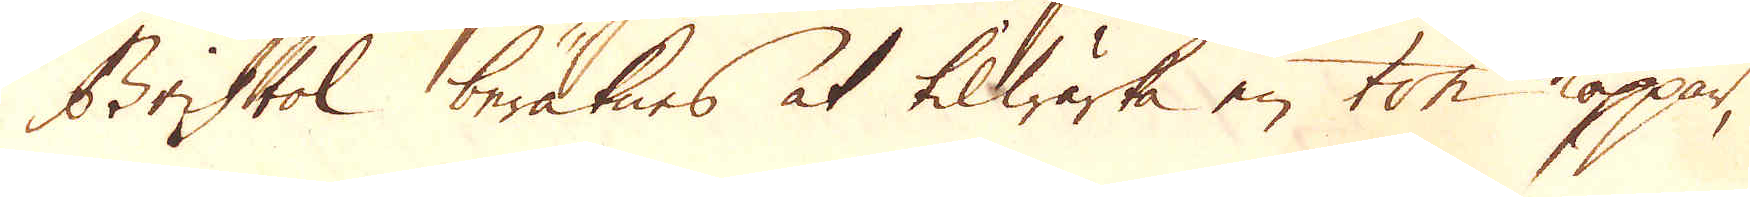Bristol beräknes at tilwärka en ton koppar,
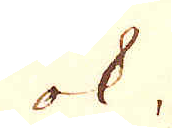ok
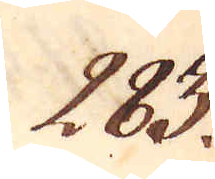283.
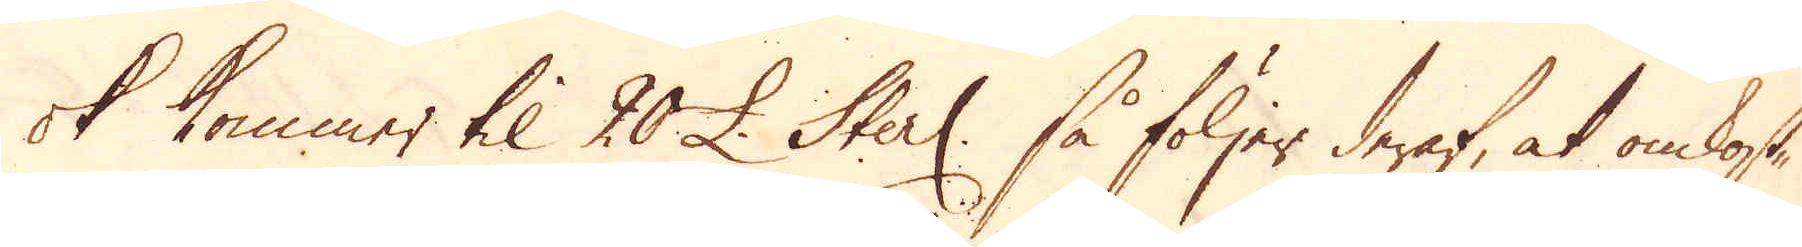ok kommer til 20 £. Sterl: så följer deraf, at omkost-
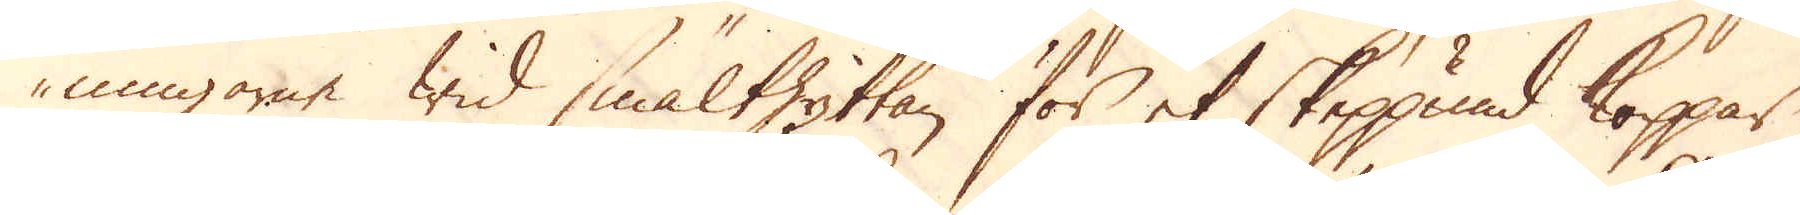ningarne wid smälthyttan för et skeppund koppar
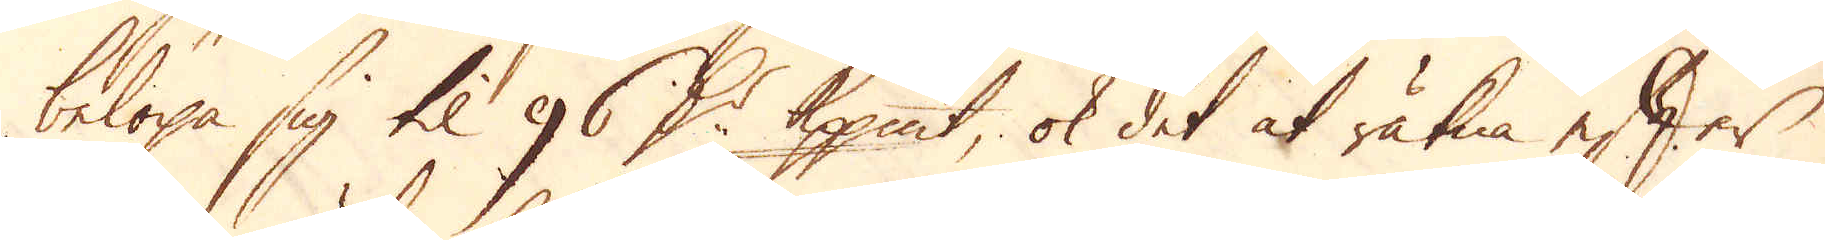belöpa sig til 96 D:r Kpp:mt, ok det at räkna efter
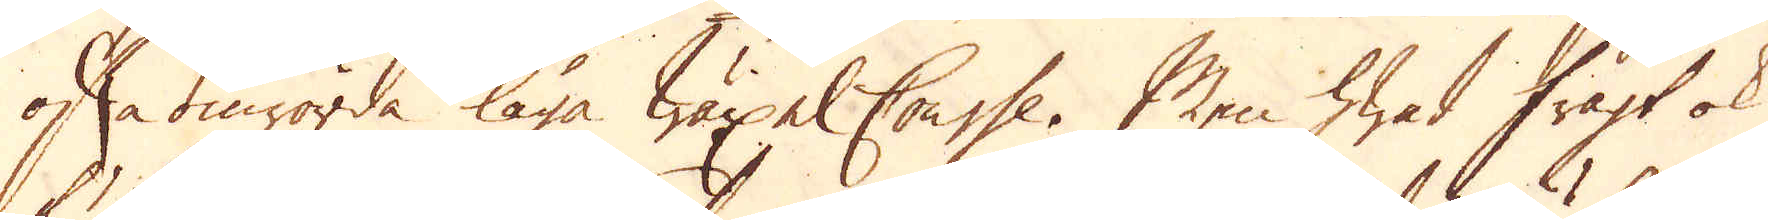ofta omrörda låga wäxel Course. Men hwad fragt ok
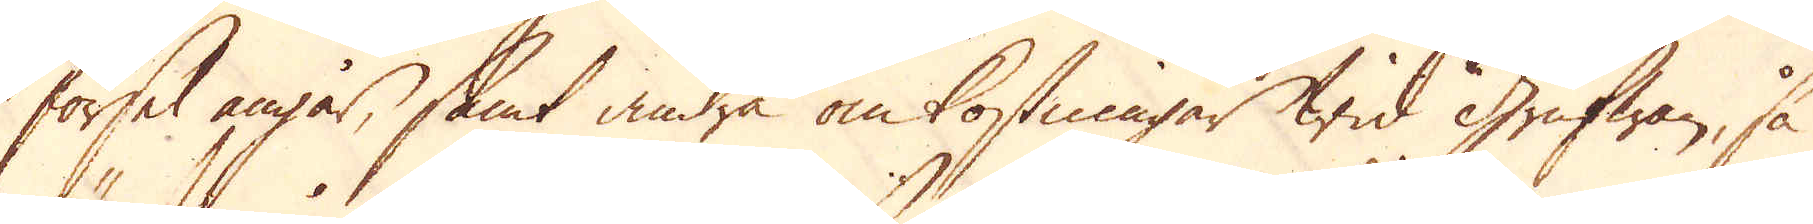försel angår, samt andra omkostningar wid Grufwan, så
